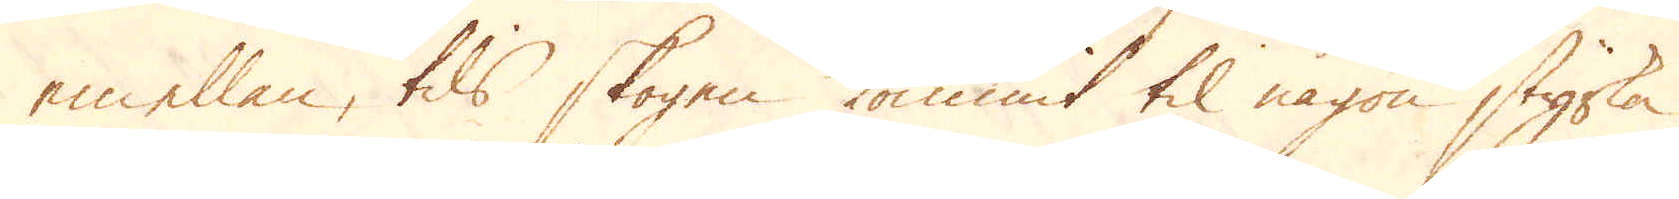emellan, tils skogen kommit til någon styrka,
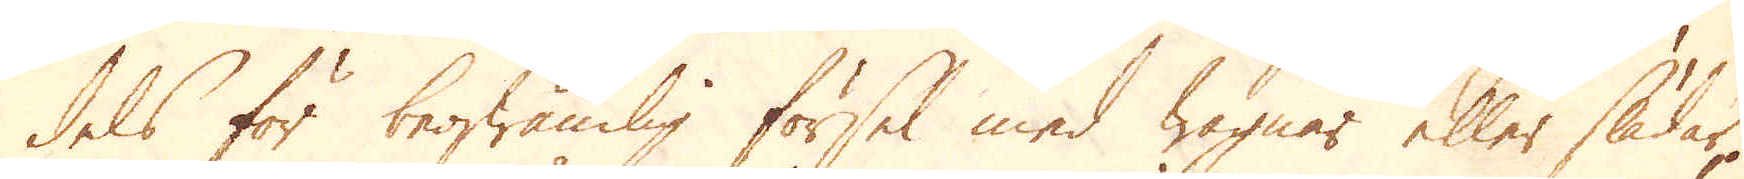dels för beqwämlig försel med wagnar eller slädar,
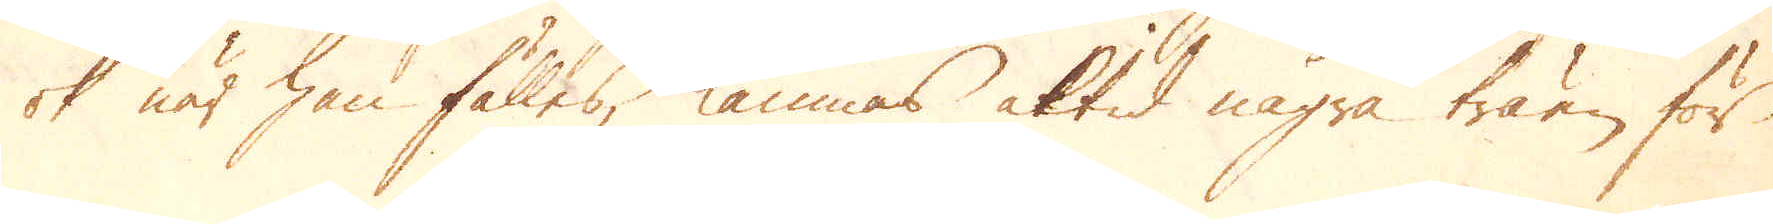ok när han fälles lämnas altid några träen för
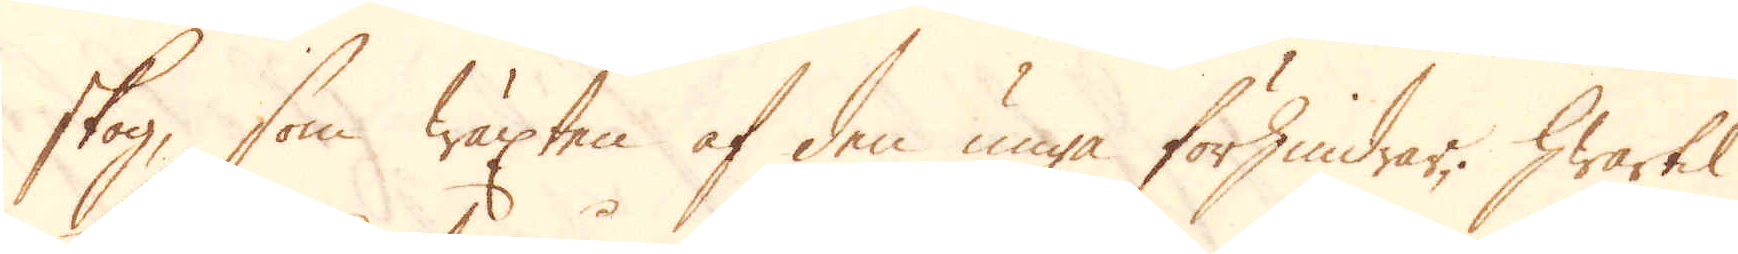skog, som wäxten af den unga förhindrar. Hwartil
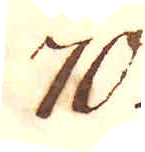70.
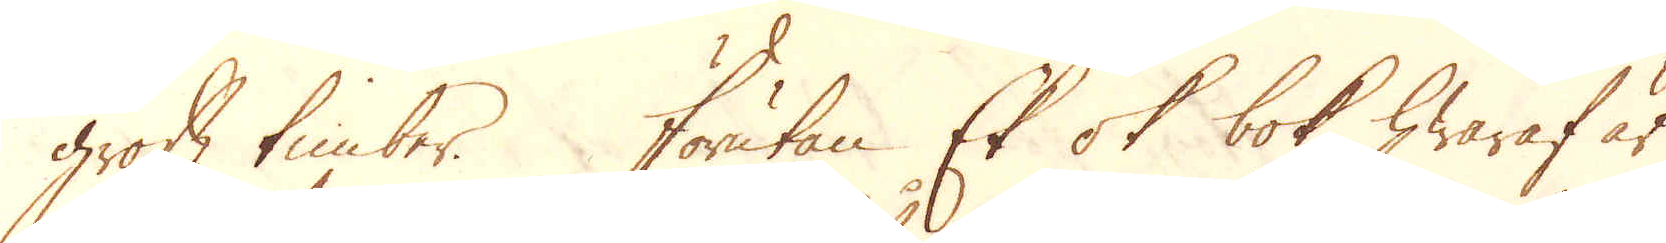groft timber. Förutan Ek ok bok, hwaraf är
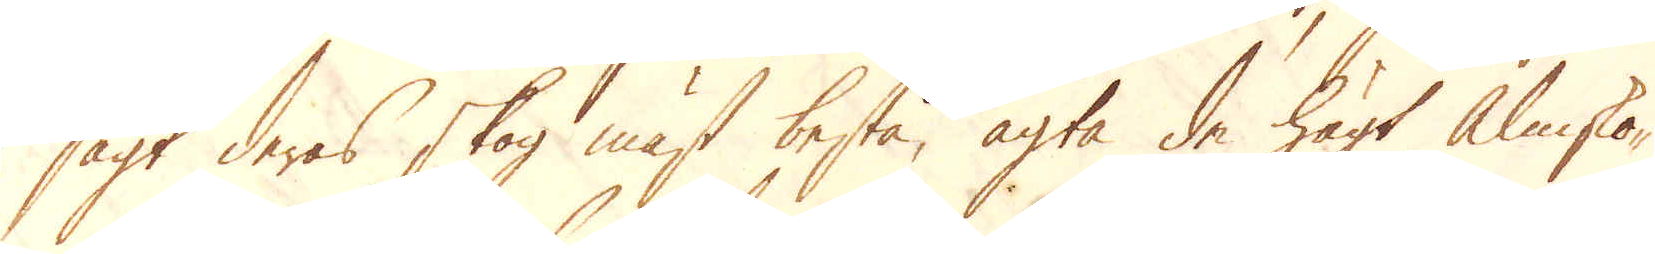sagt deras skog mäst bestå, agta de högt almsko-
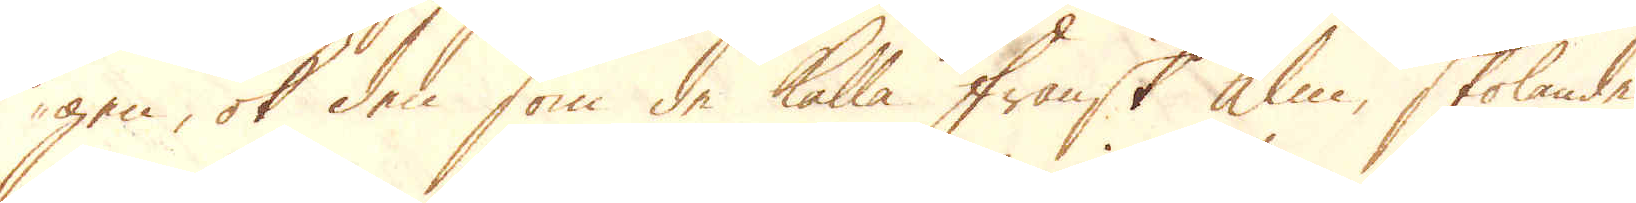gen, ok den som de kalla Fransk Alm, skolande
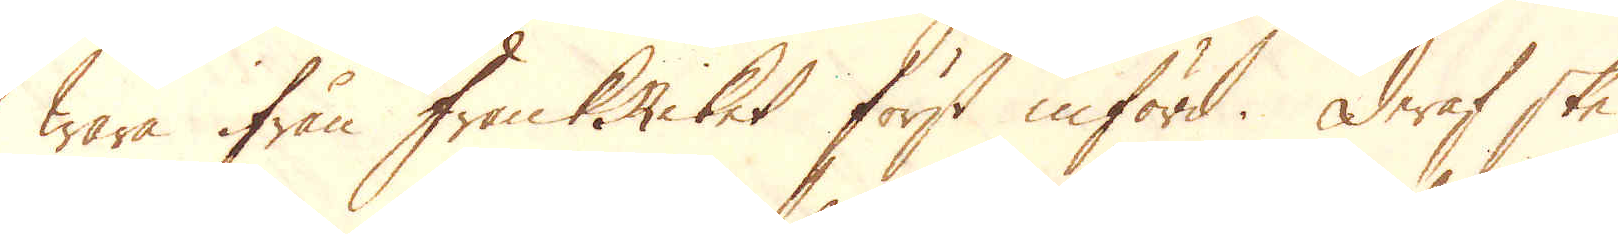wara ifrån FrankRiket först införd. Deraf ske
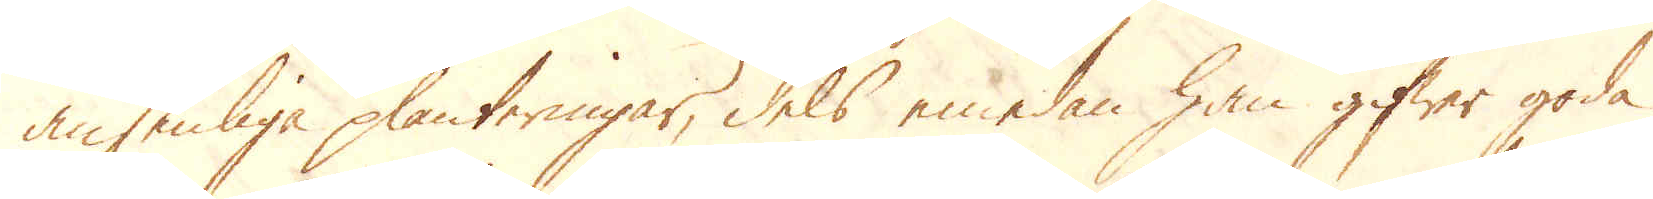ansenliga planteringar, dels emedan han gifwer goda
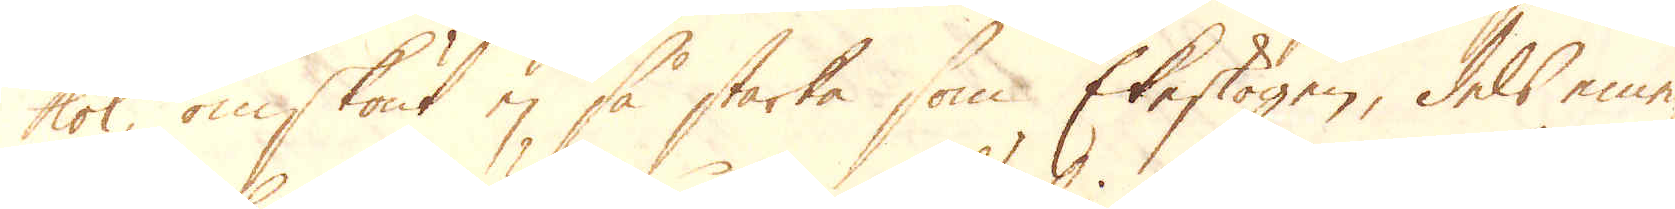kol, omskönt ej så starka som Ekeskogen, dels eme-
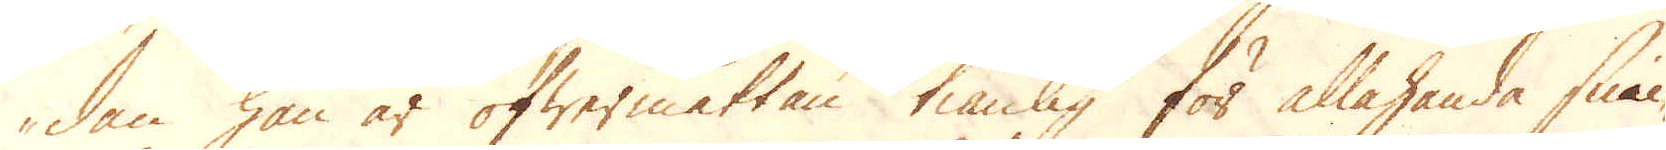dan han är öfwermåttan tiänlig för allahanda snic-
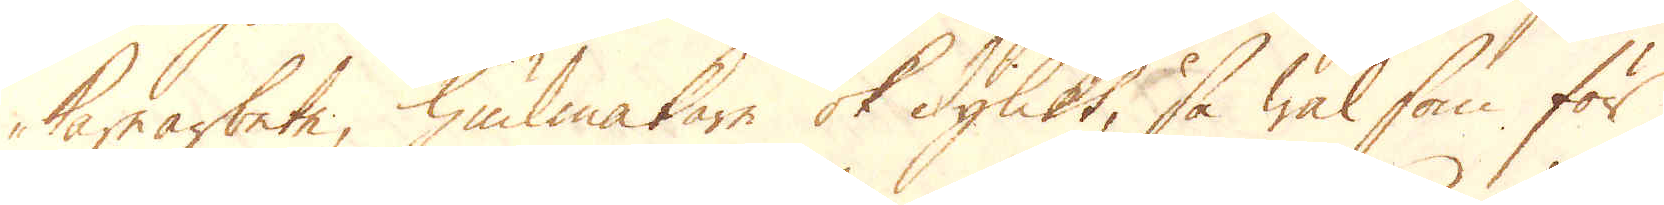karearbete, hiulmakare ok dylikt, så wäl som för
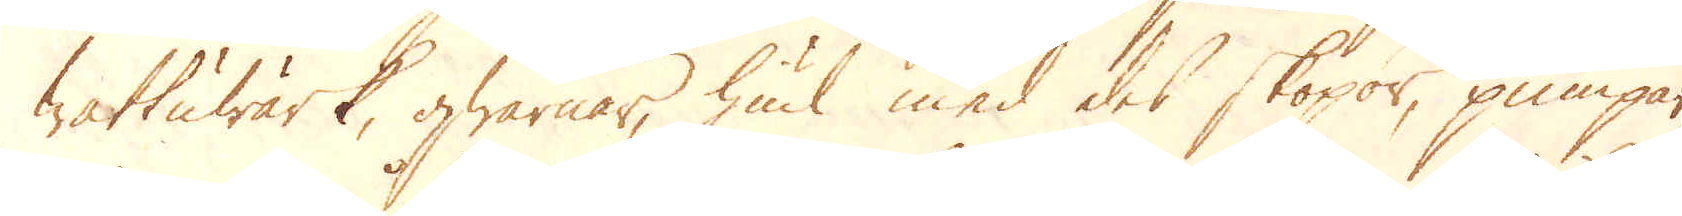Wattuwärk, qwarnar, hiul med des skopor, pumpar,
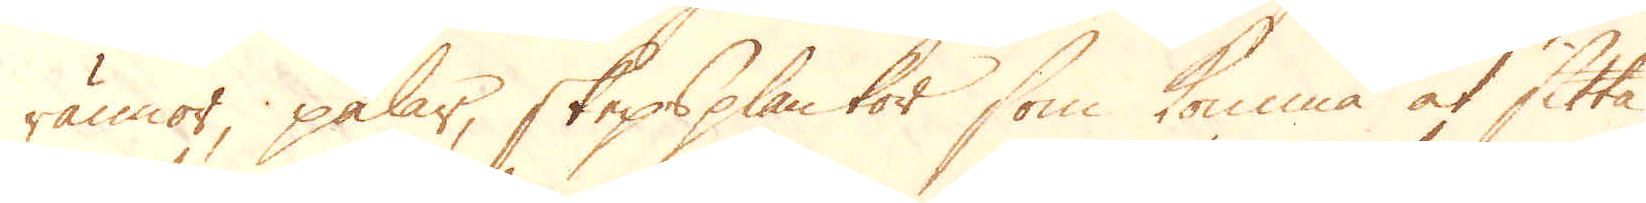rännor, pålar, skepsplankor som komma at sitta
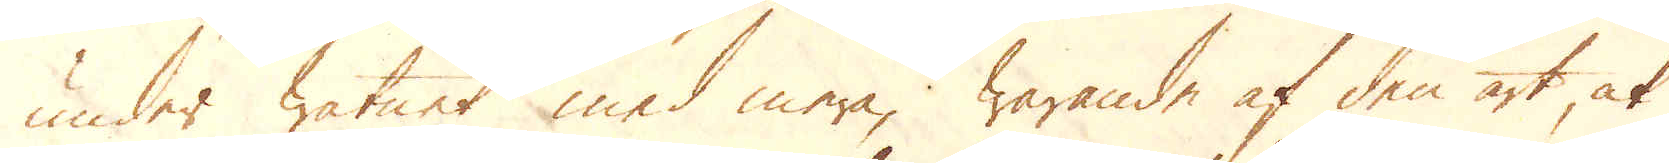under Watnet med mera; Warande af den art, at
